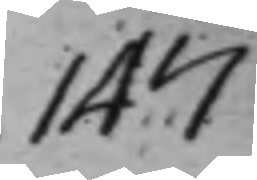147
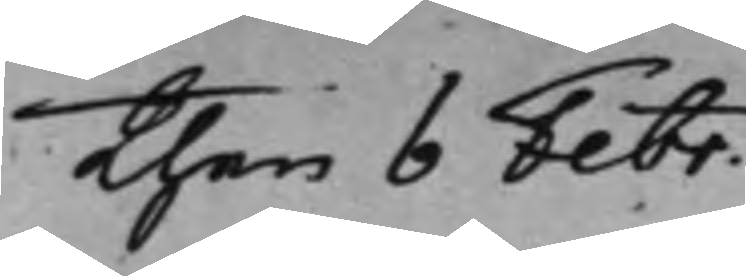Then 6 Febr.
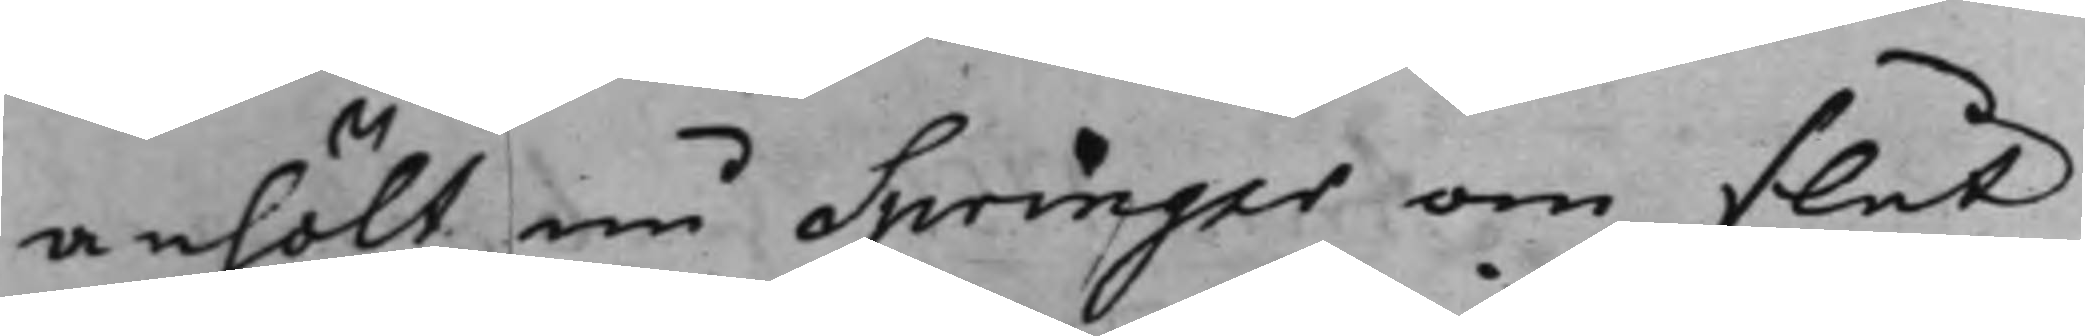anhölt nu Springer om slut
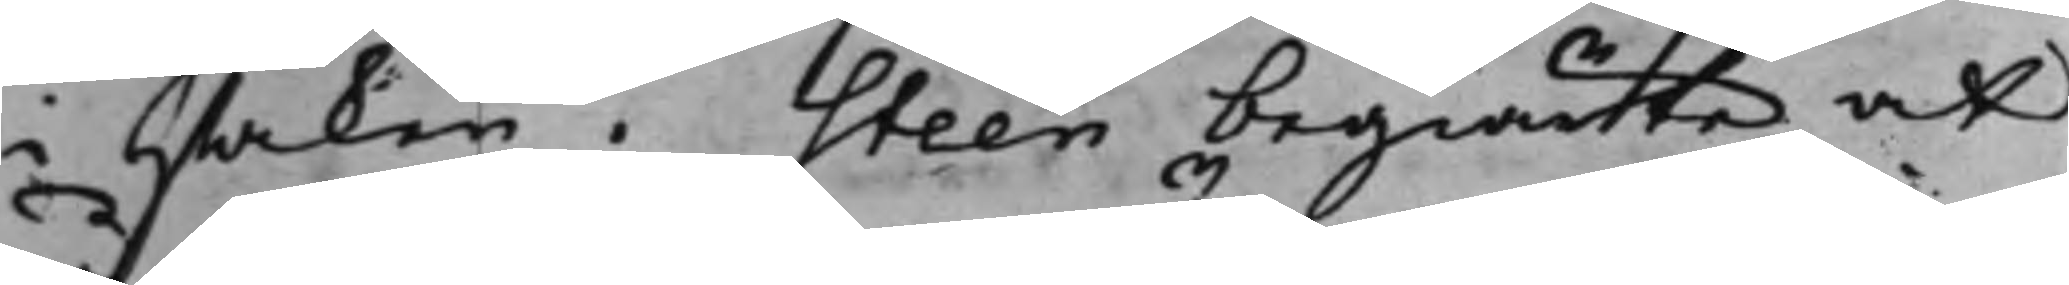i saken. Steen begiärte at
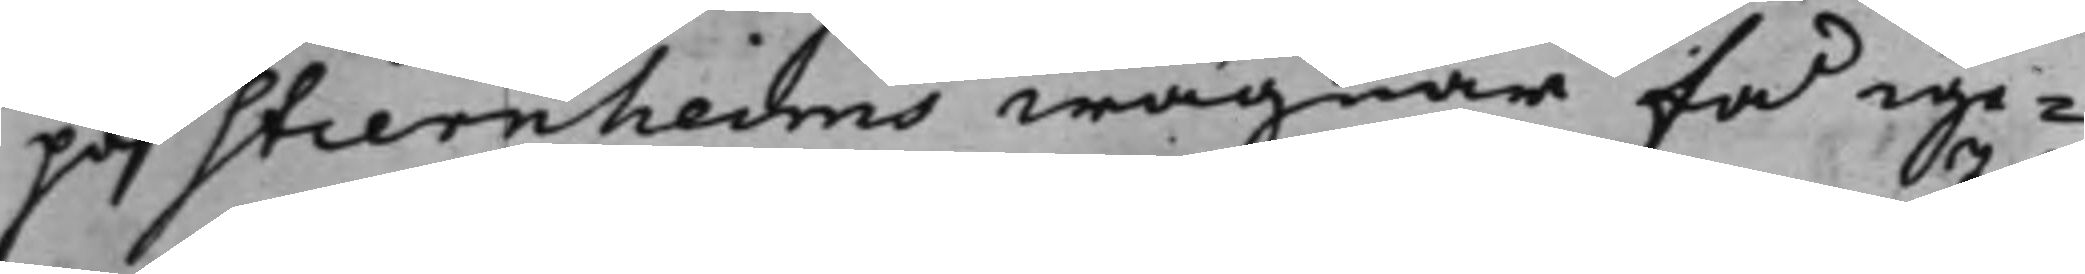på Stiernheims wägnar få ige¬
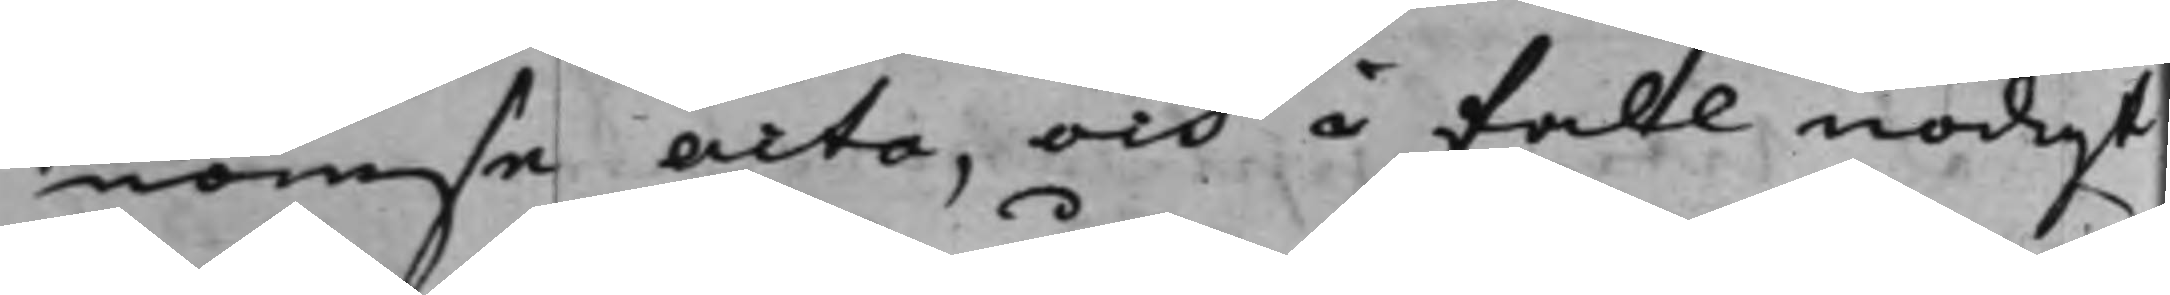nomse acta, och i fall nödigt
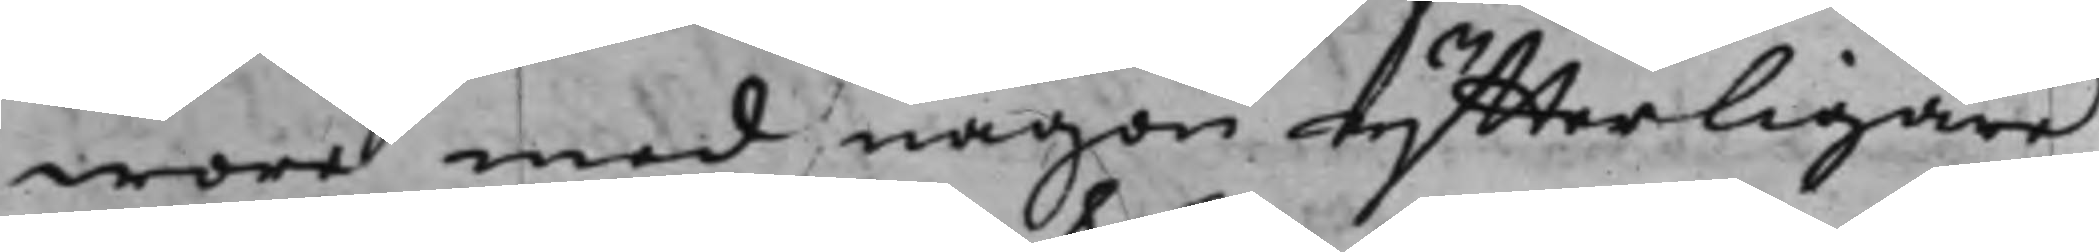wore med någon ytterligare
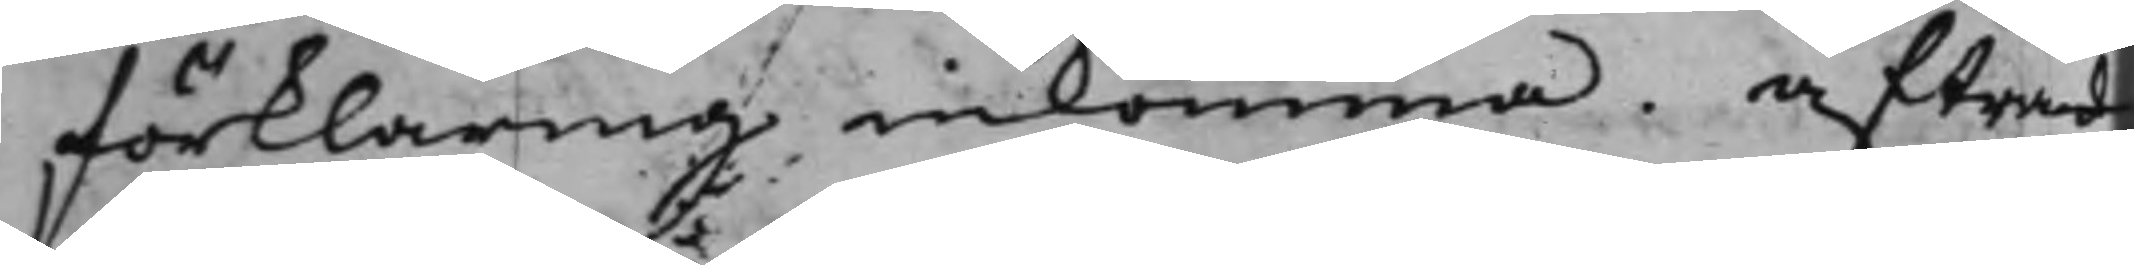förklaring inkomma. Afträd¬
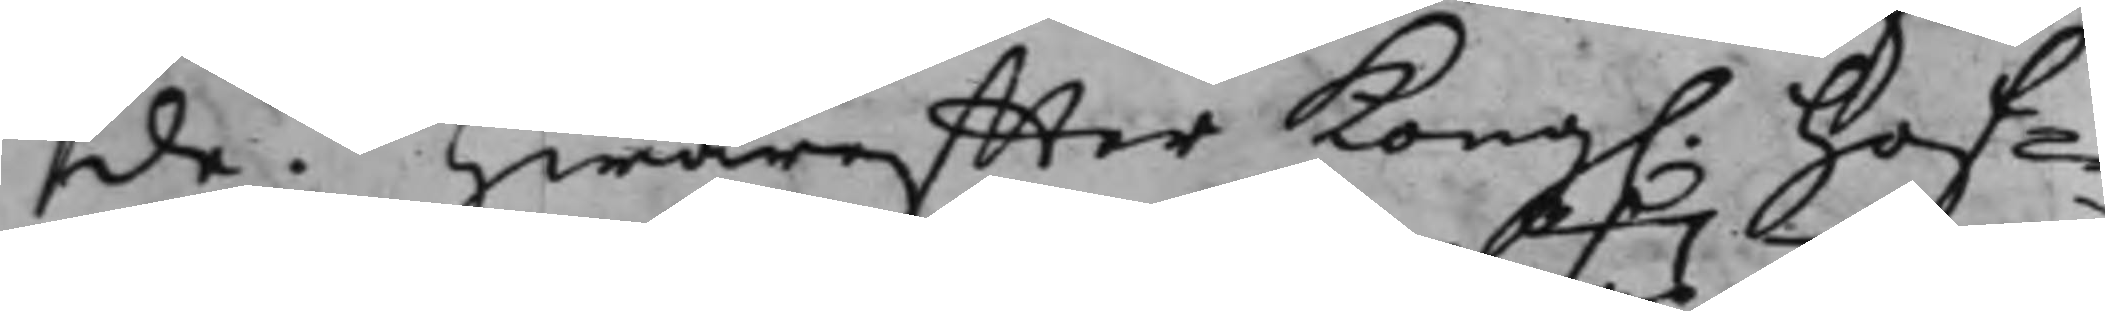de. Hwareffter Kong. Hof¬
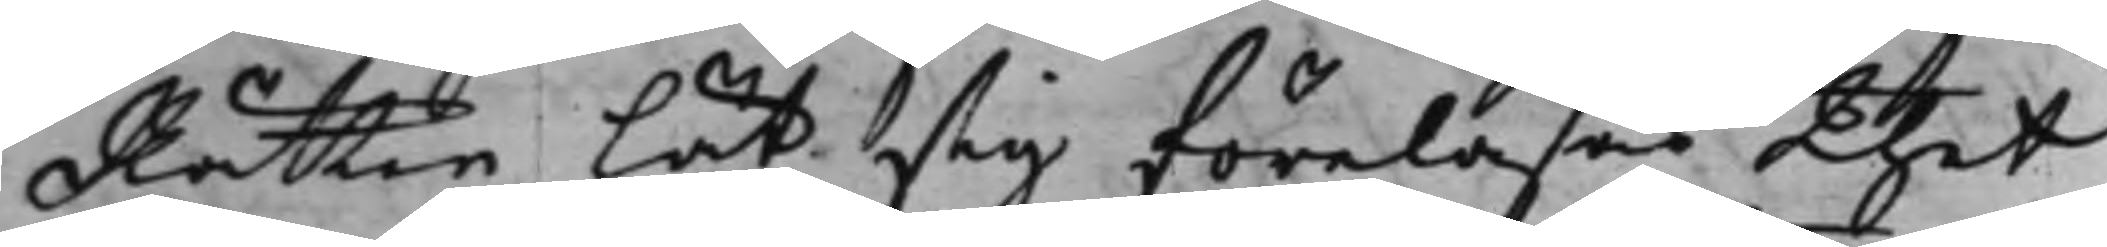Rätten lät sig föreläsas thet
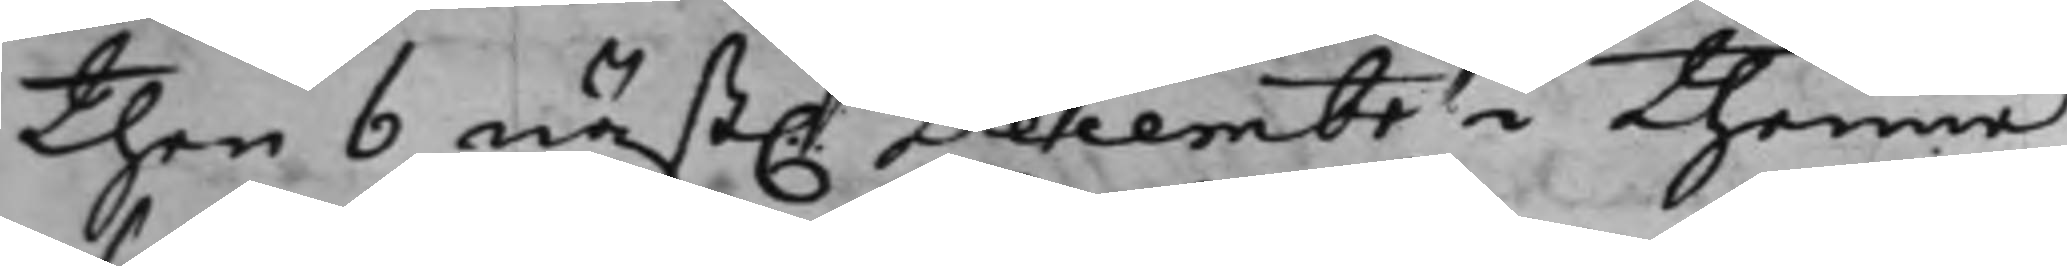then 6 näst. December i thenne
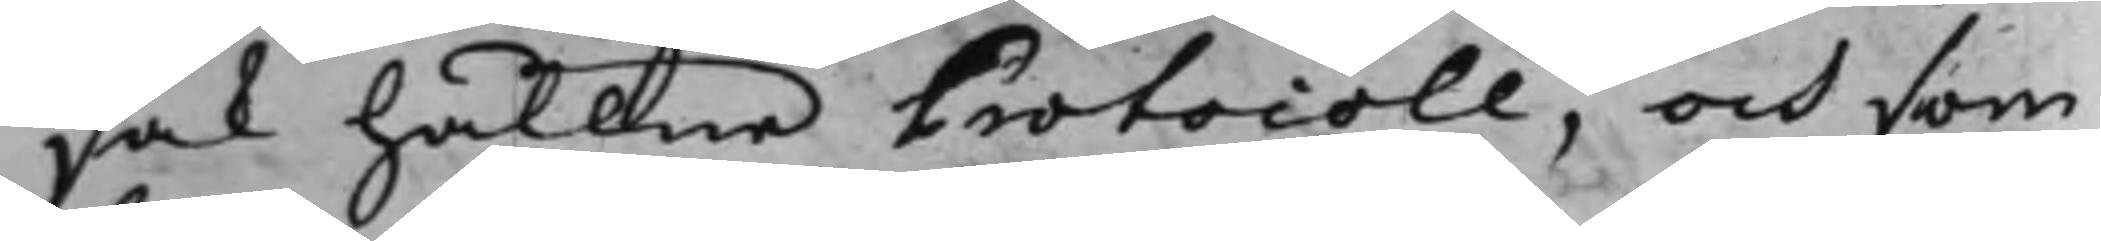sak hållne Protocoll, och som
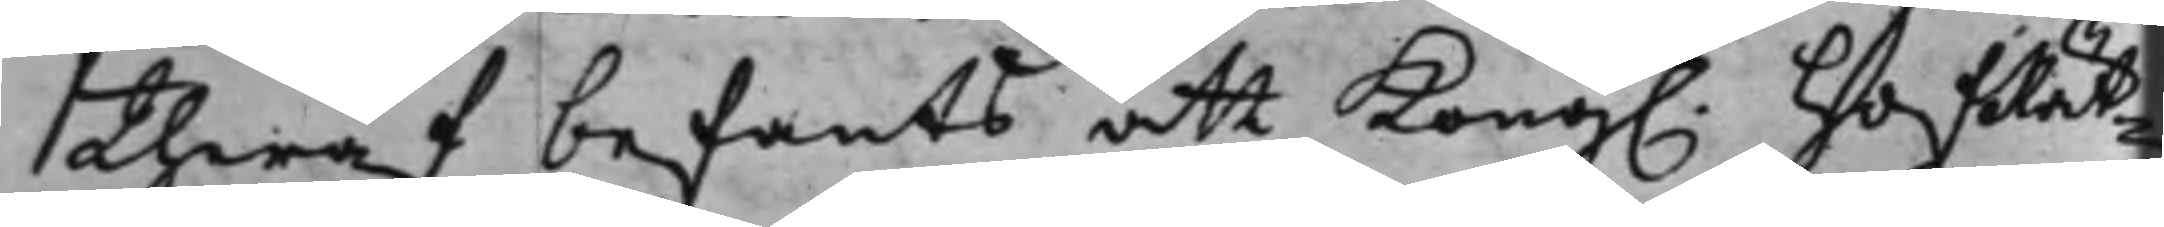theraf befants att Kong. HofRät¬
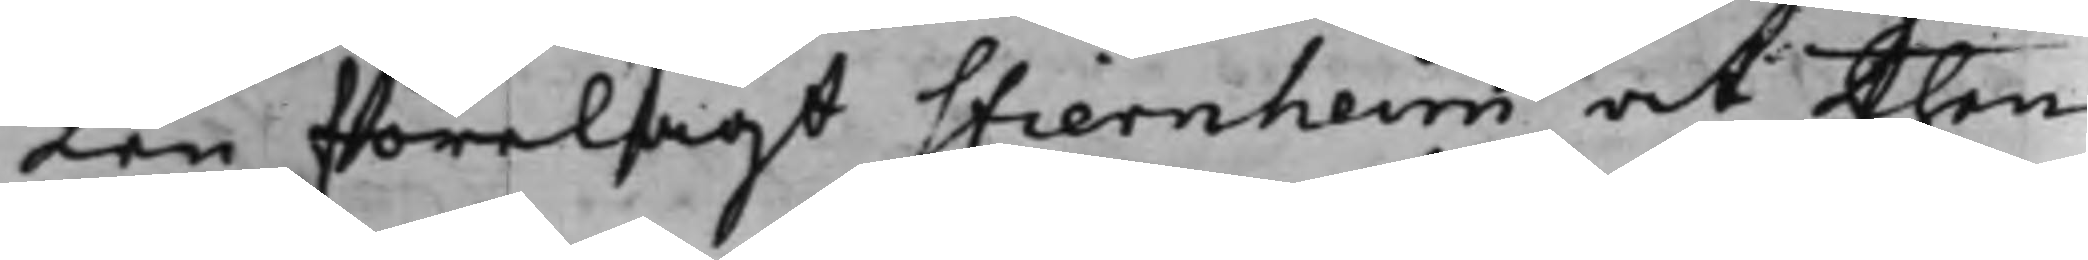ten förelagt Stiernheim at then
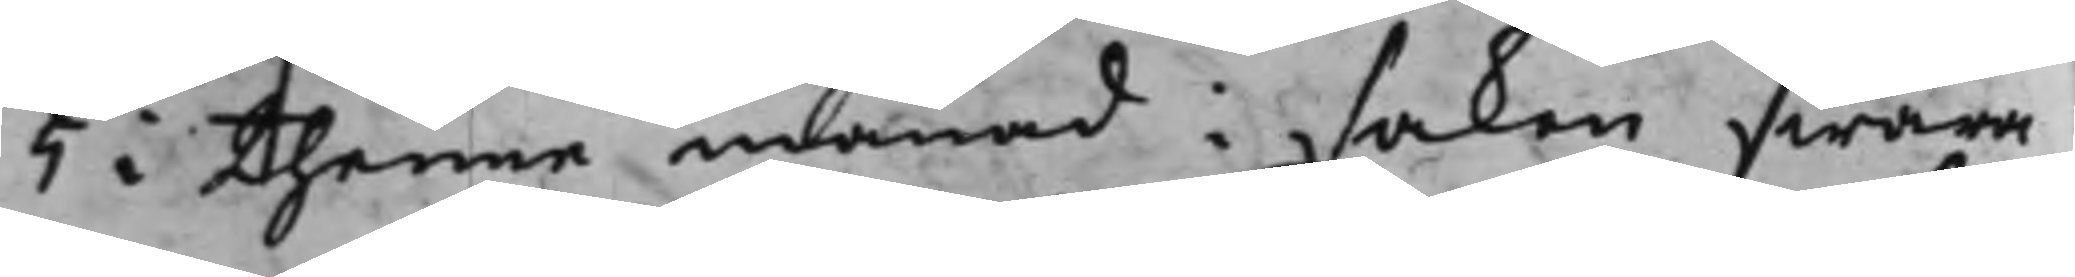5 i thenne månad i saken swara
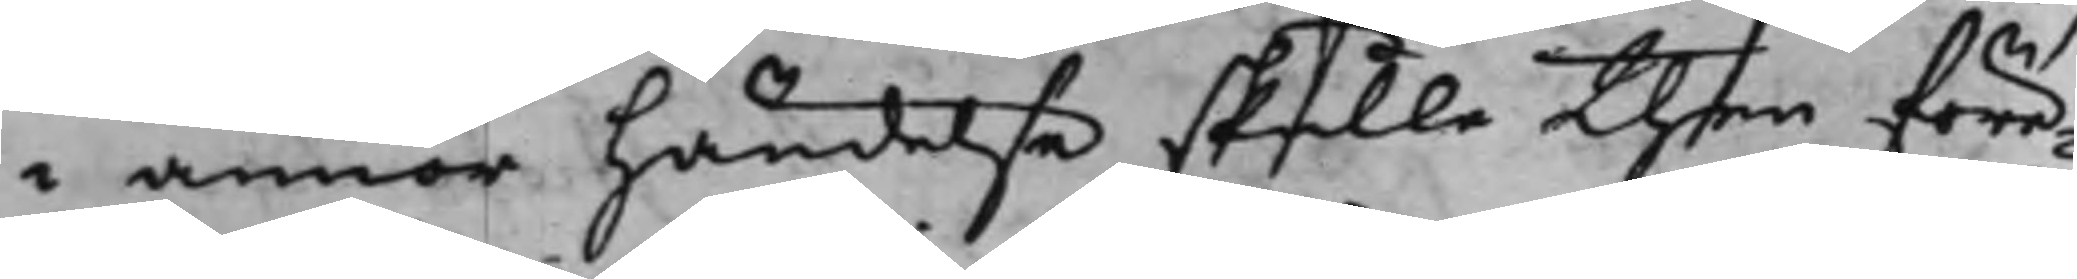i annor händelse skulle then före¬
